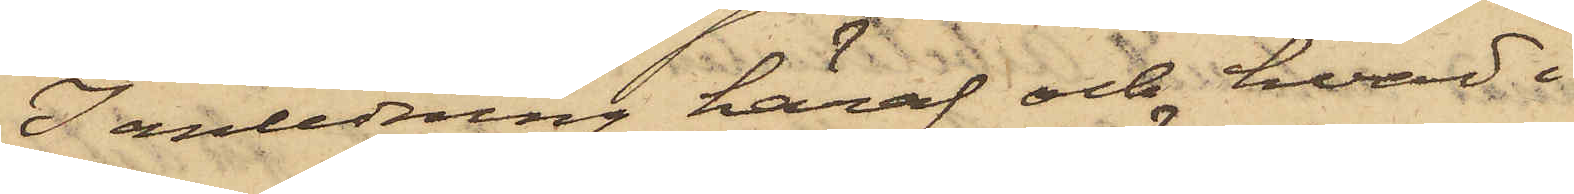I anledning häraf och hvad i
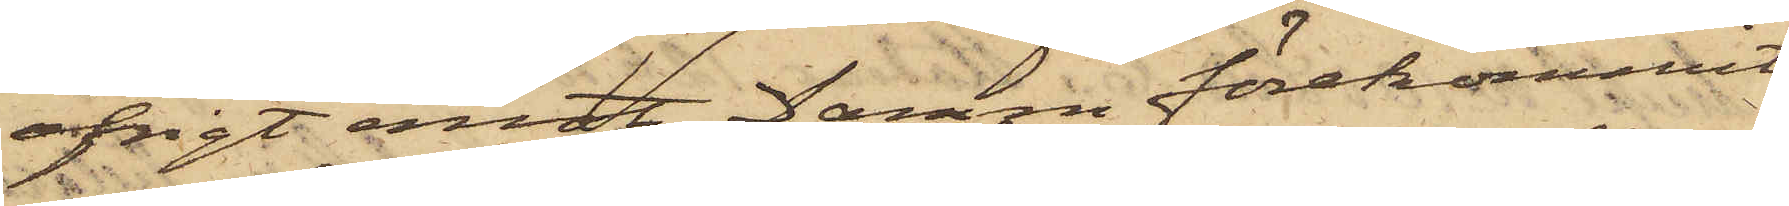öfrigt emot Damm förekommit,
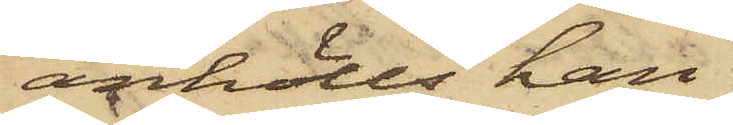anhölls han
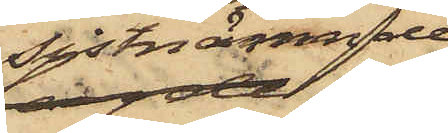sistnämnde
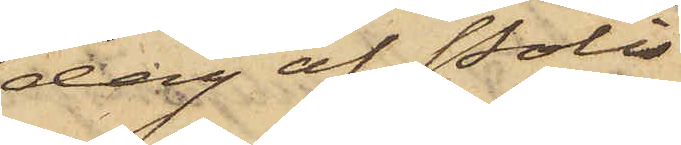dag af Polis¬
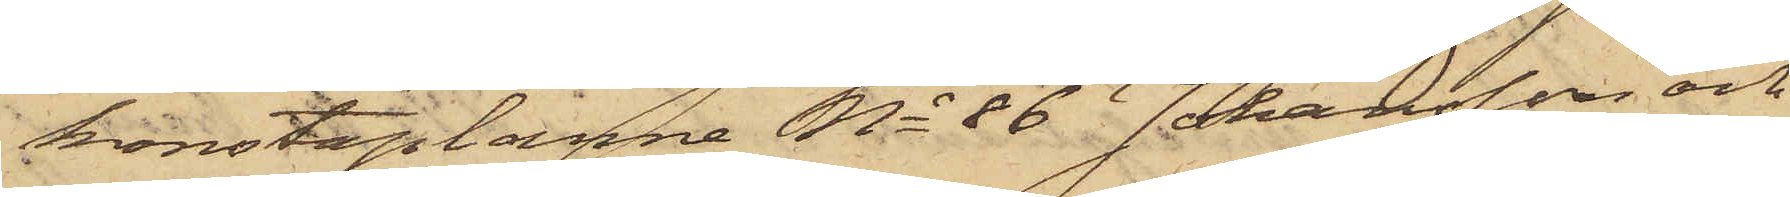konstaplarne No 86 Johansson och
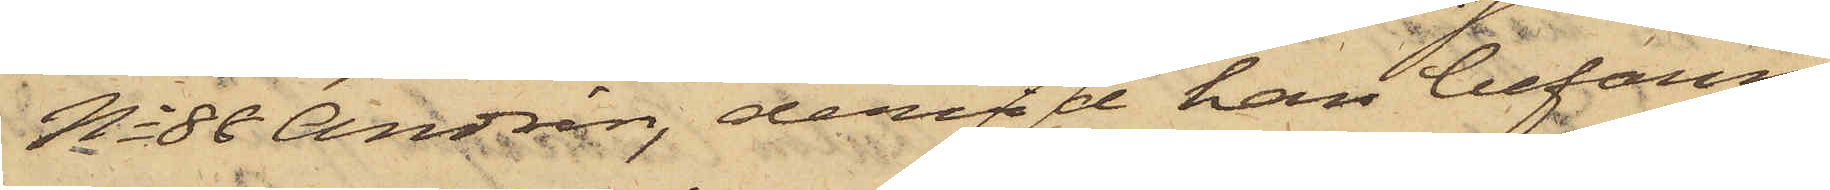No 88 Andrén, dervid han befanns
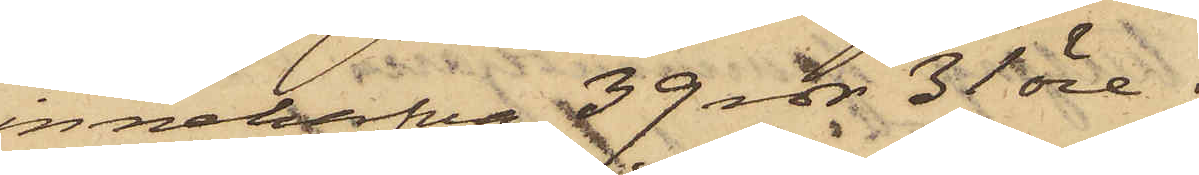innehafva 39 rdr 35 öre;
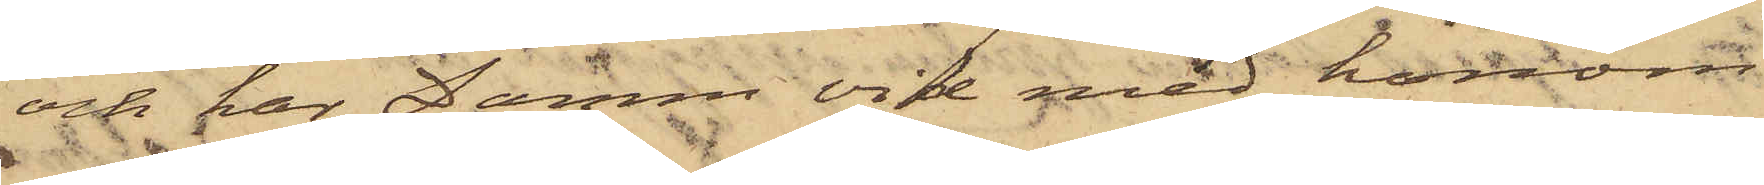och har Damm vid med honom
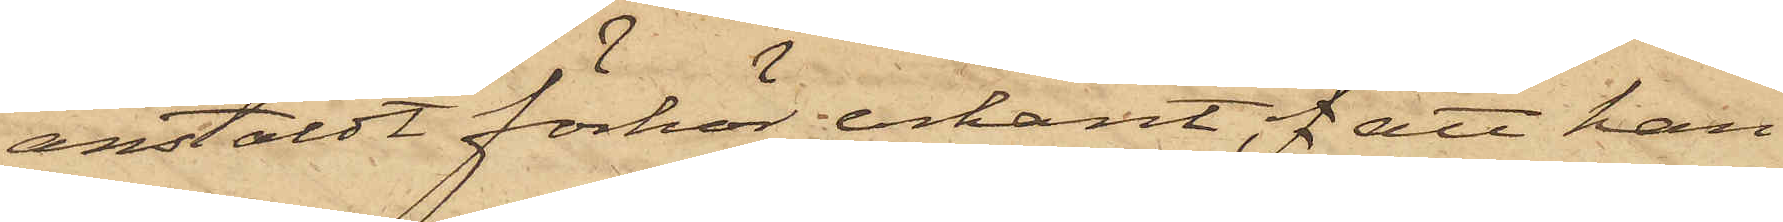anstäldt förhör erkänt, f att han
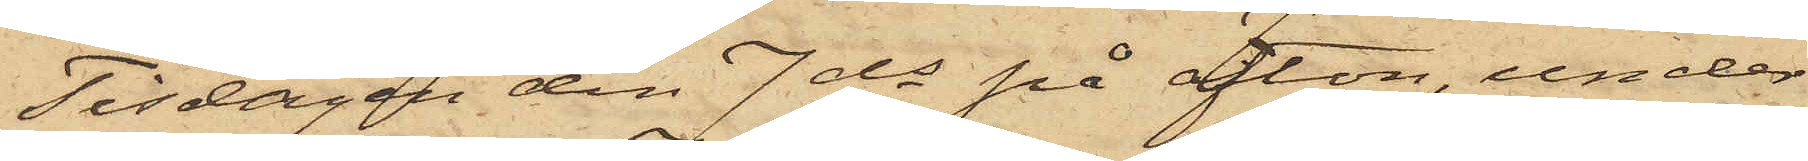Tisdagen den 7 ds på afton, under
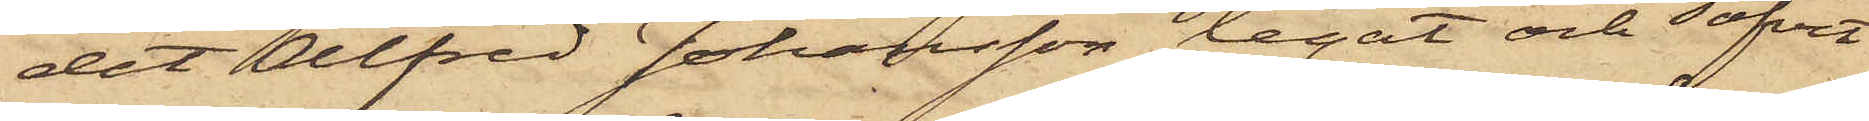det Alfred Johansson legat och sofvit
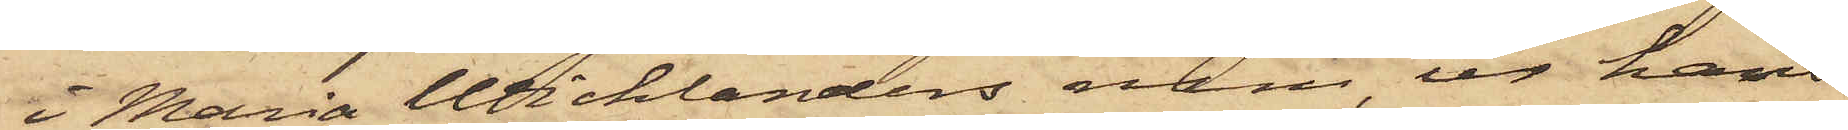i Maria Wicklanders rum, ur hans
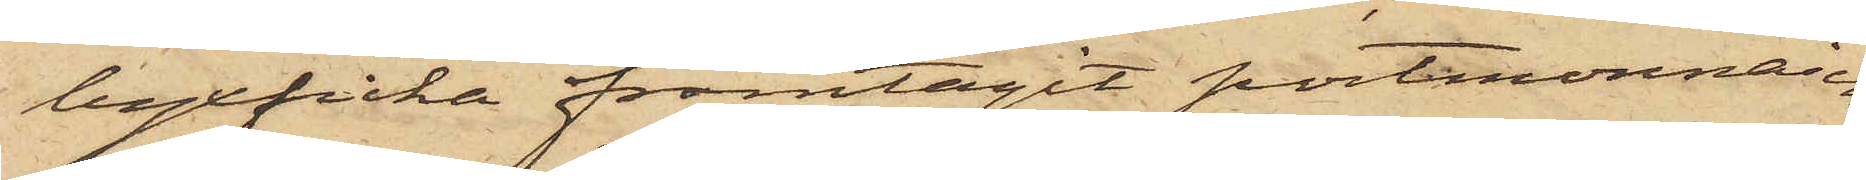byxficka framtagit portmonnaien
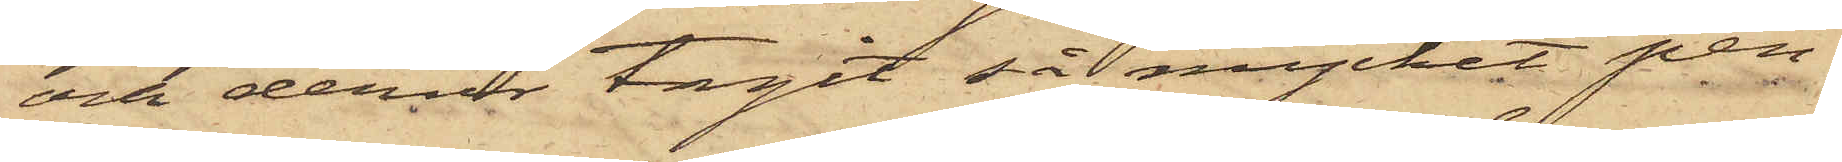och derur tagit så mycket pen¬
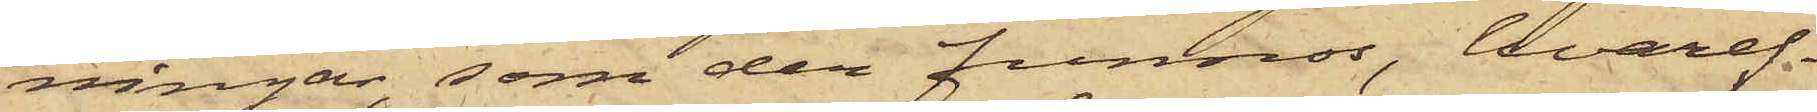ningar, som der funnos, hvaref¬
